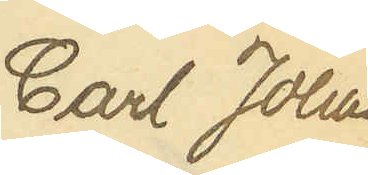Carl Johan
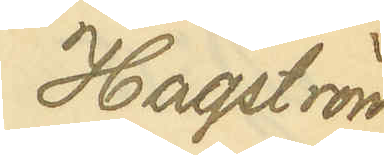Hagström
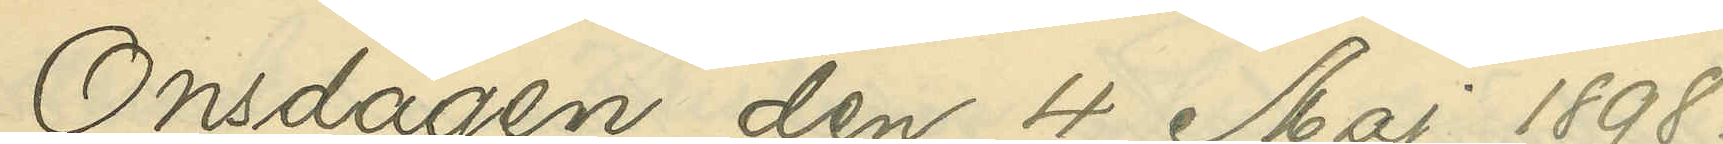Onsdagen den 4 Maj 1898.
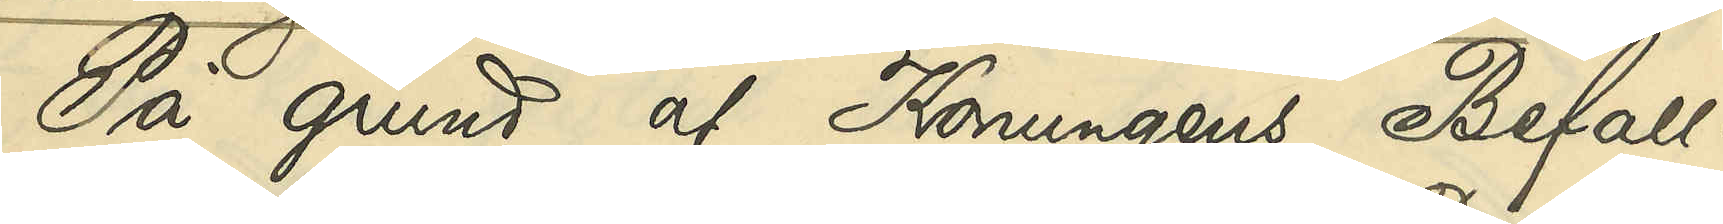På grund af Konungens Befall¬
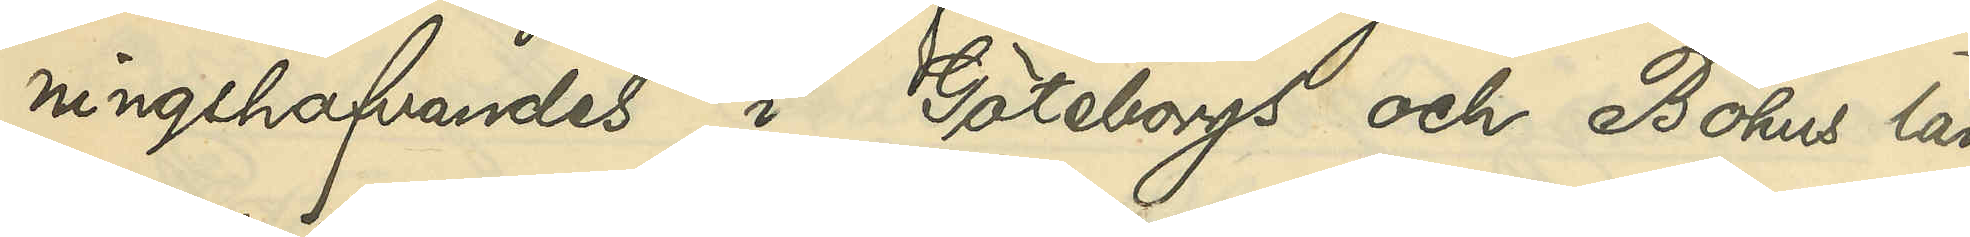ningshafvandes i Göteborgs och Bohus län
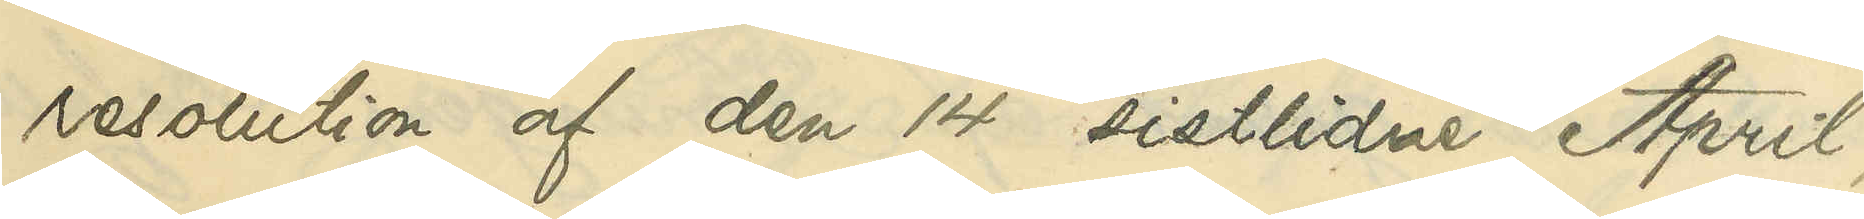resolution af den 14 sistlidne April,
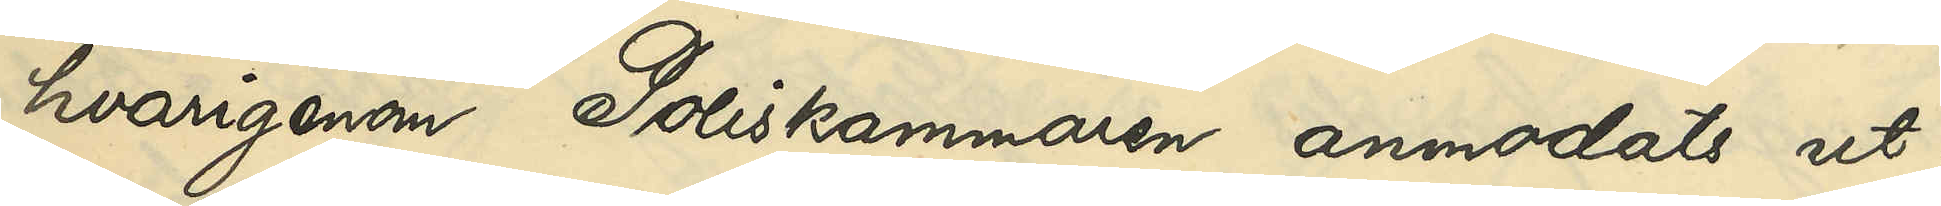hvarigenom Poliskammaen anmodats ut¬
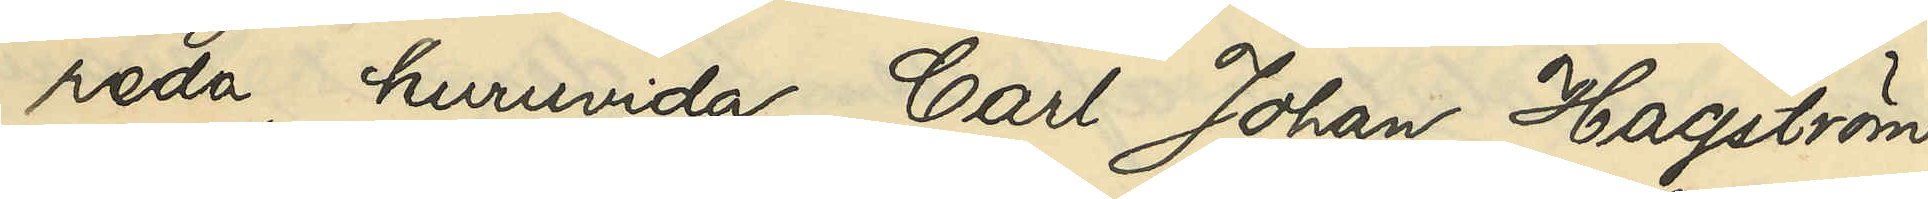reda, huruvida Carl Johan Hagström
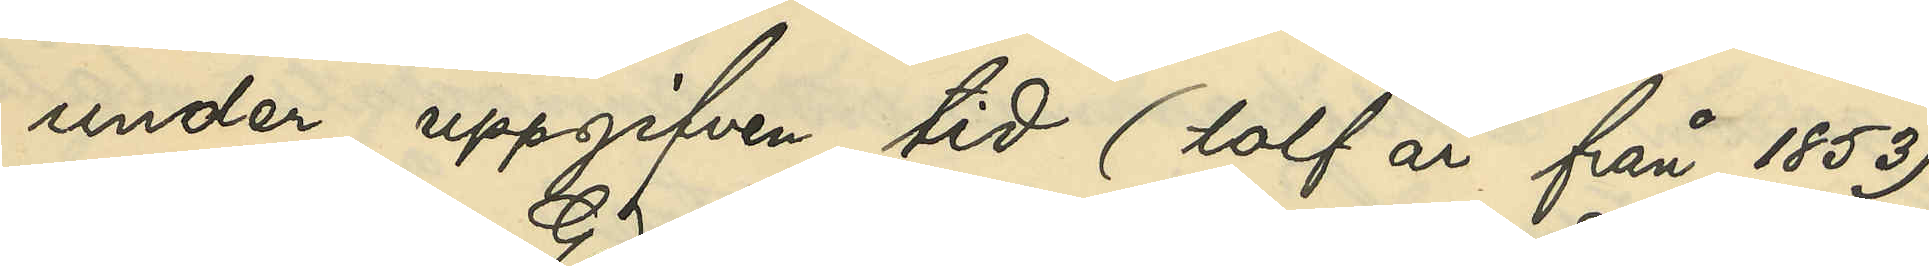under uppgifven tid (tolf år från 1853)
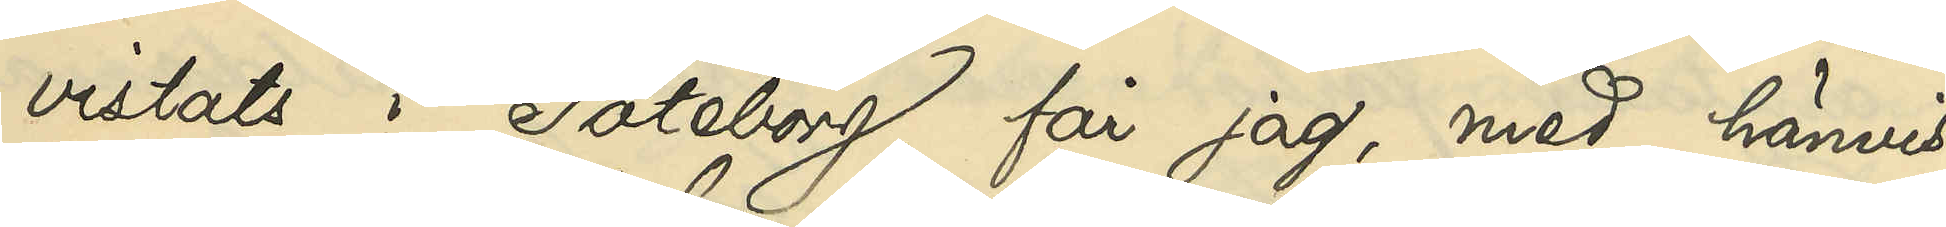vistats i Göteborg, får jag, med hänvis¬
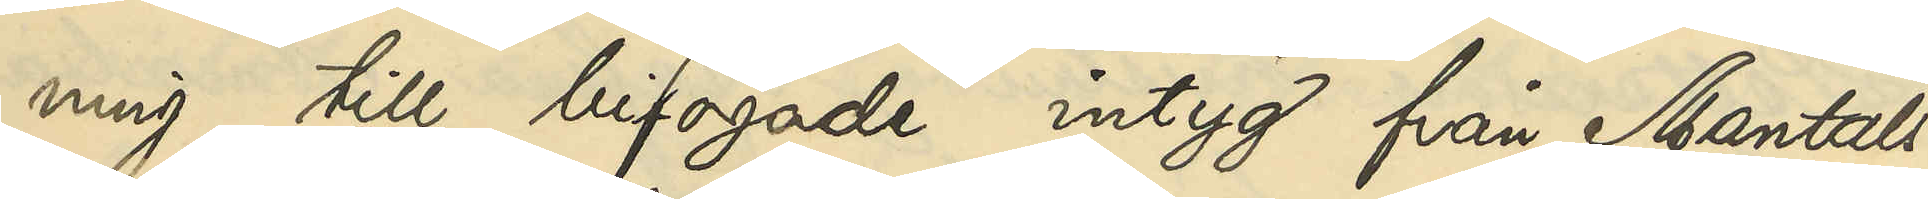ning till bifogade intyg från Mantals¬
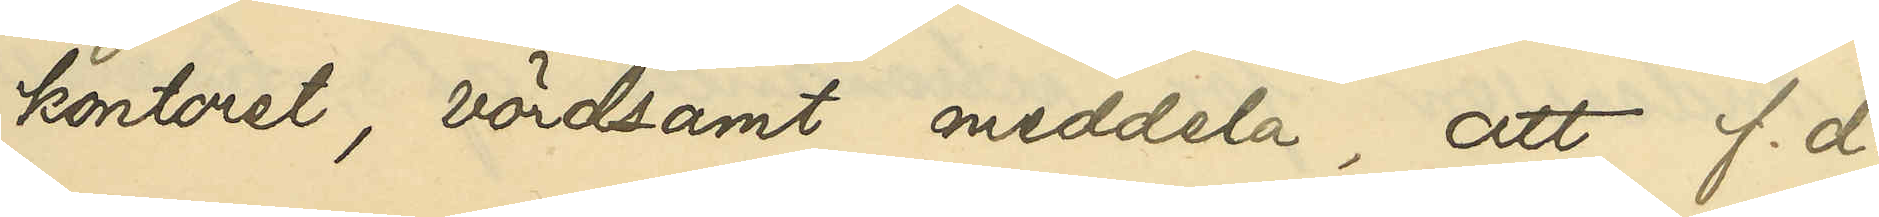kontoret, vördsamt meddela, att f. d.
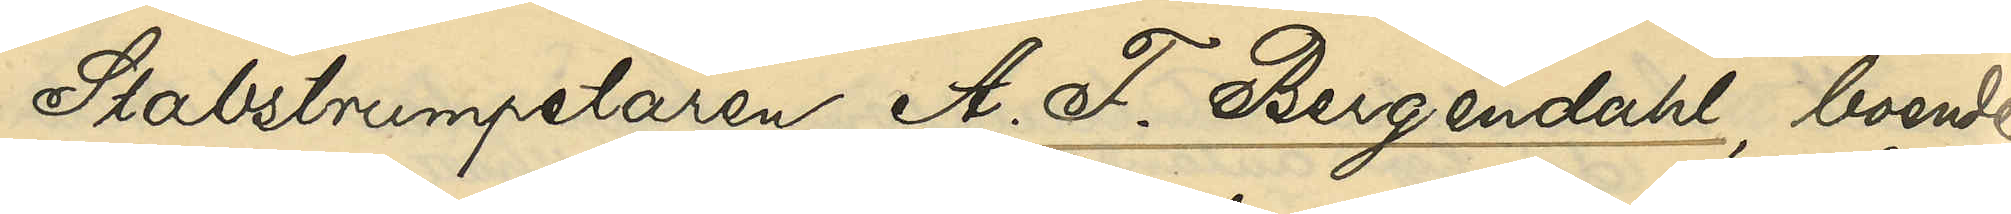Stabstrumpetaren A. F. Bergendahl, boende
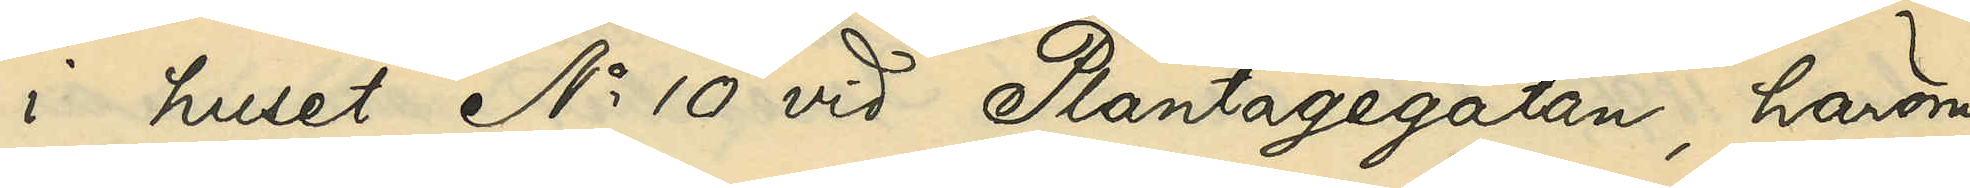i huset No 10 vid Plantagegatan, härom
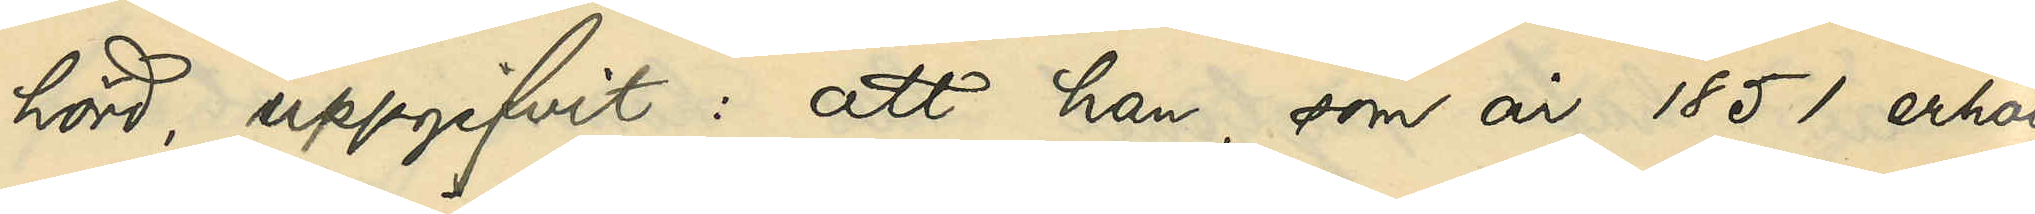hörd, uppgifvit: att han, som år 1851 erhöll
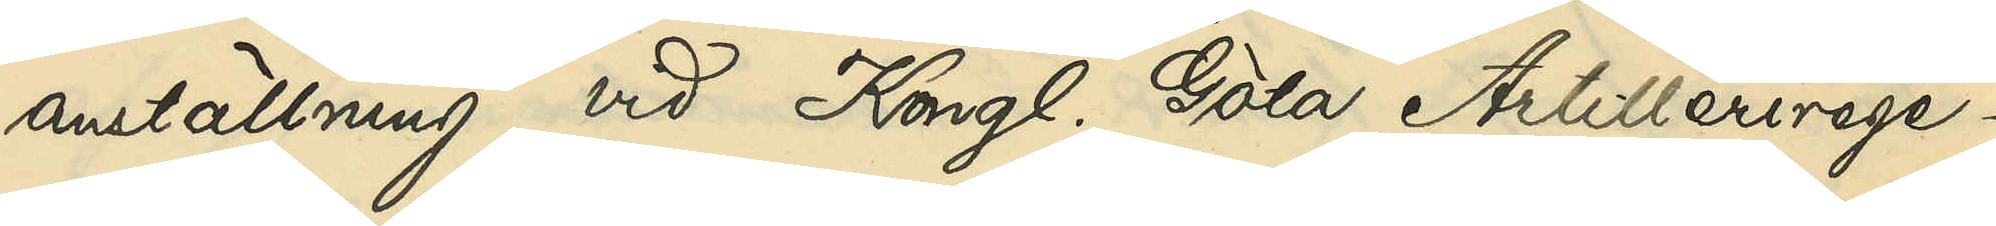anställning vid Kongl. Göta Artillerirege¬
